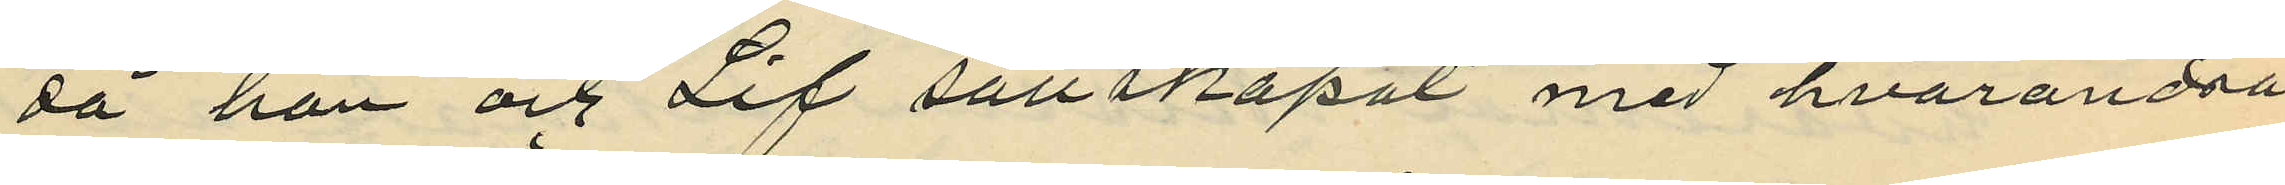då han och Lif sällskapat med hvarandra
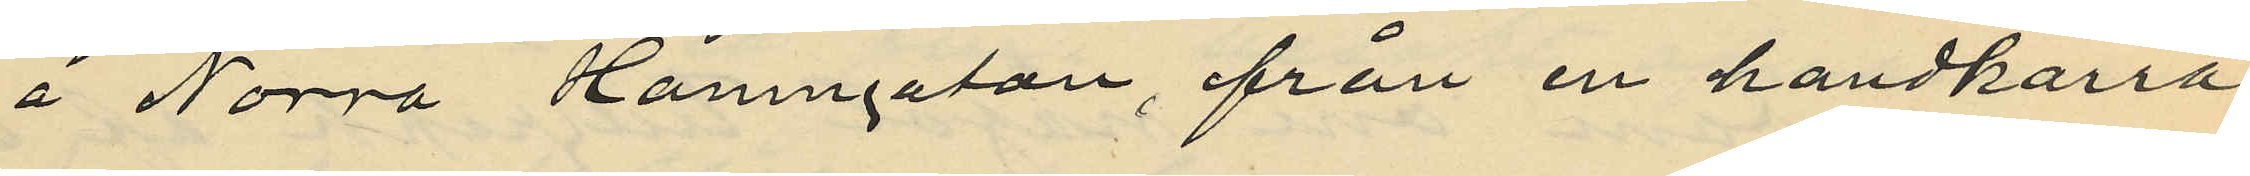å Norra Hamngatan, från en handkärra
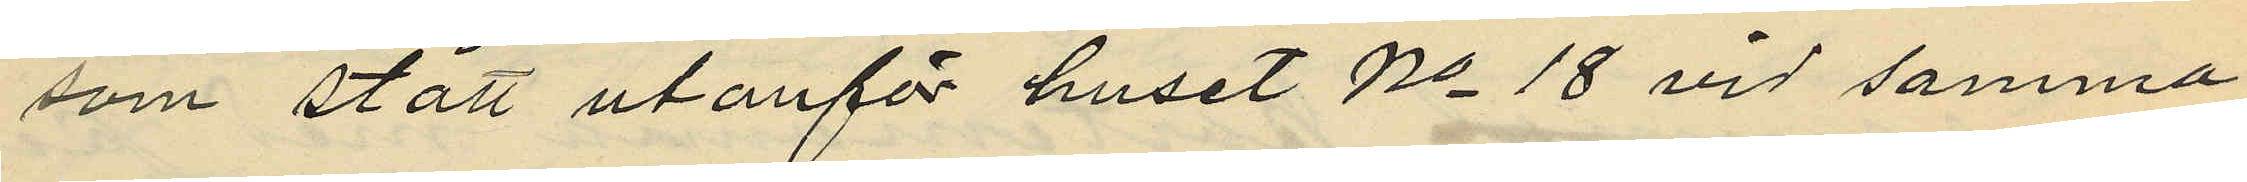som stått utanför huset No 18 vid samma
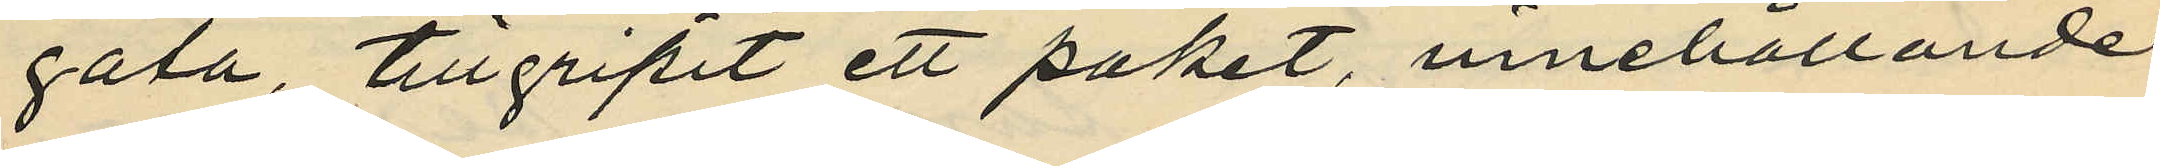gata, tillgripit ett paket, innehållande
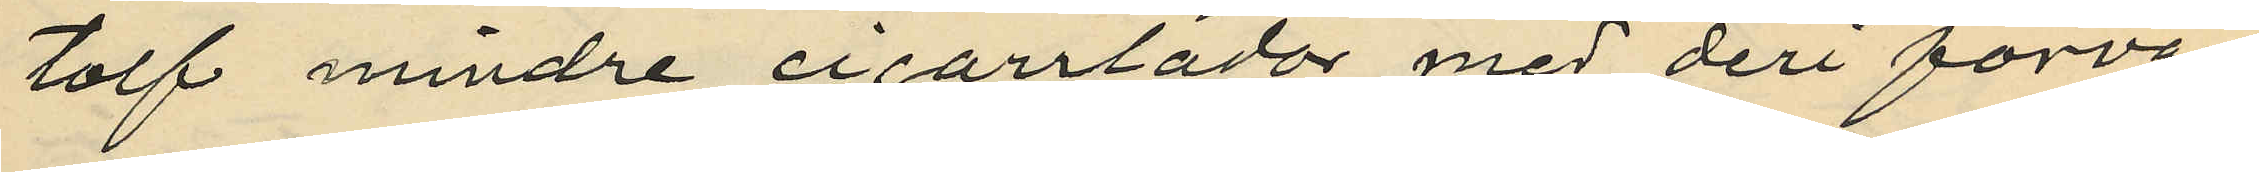tolf mindre cigarrlådor med deri förva¬
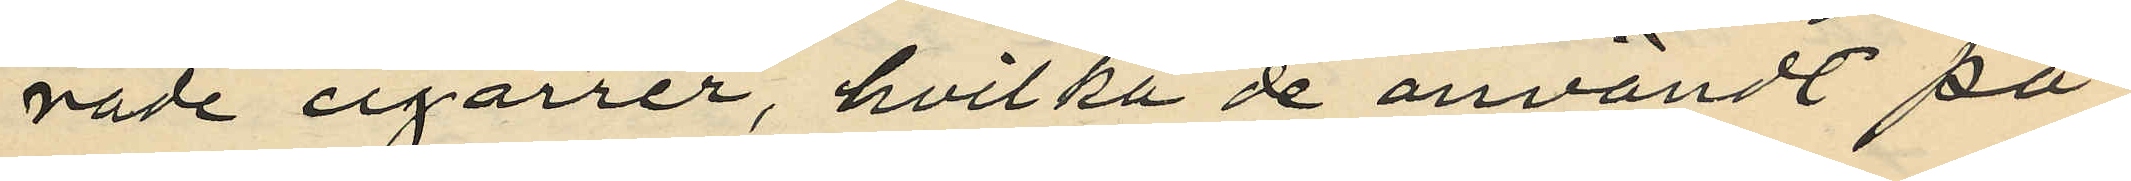rade cigarrer, hvilka de användt på
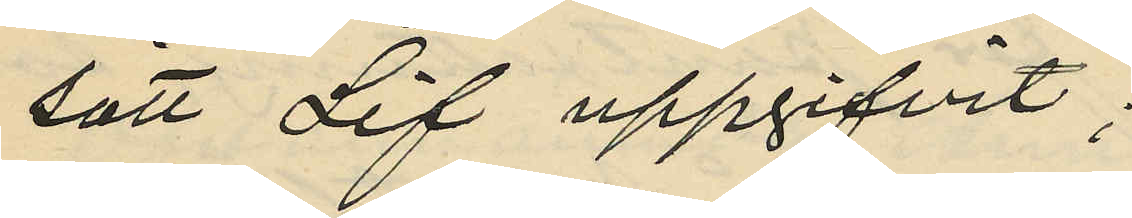sätt Lif uppgifvit;
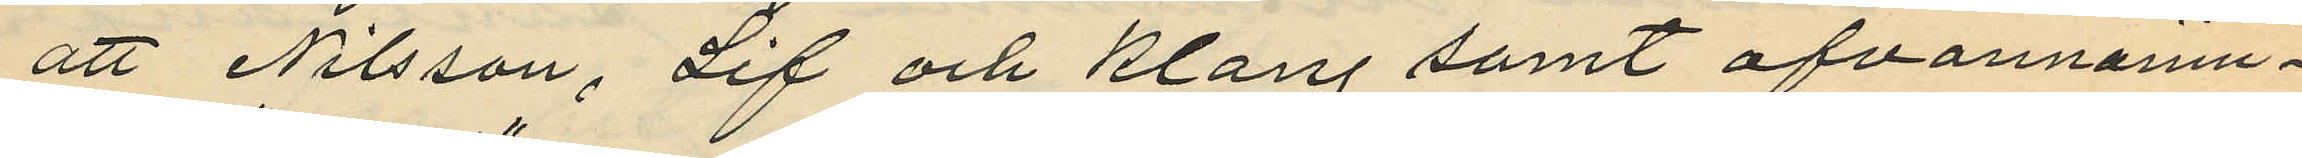att Nilsson, Lif och Klang samt ofvannämn¬
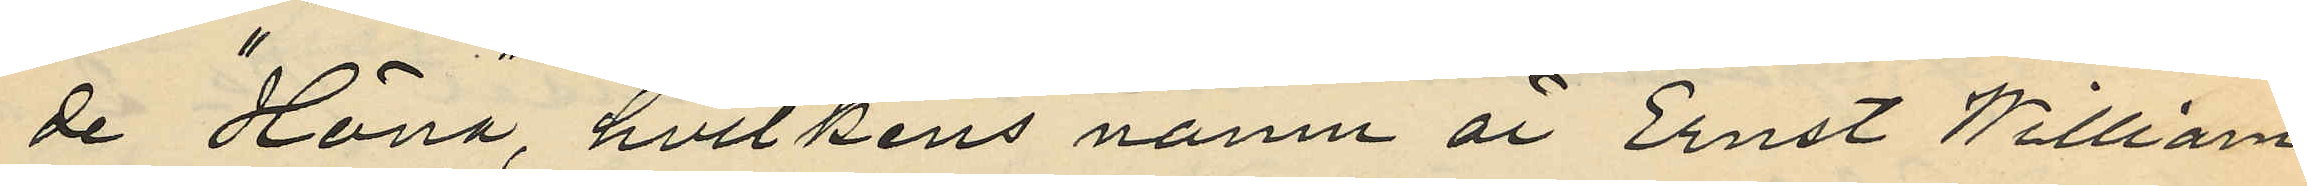de " Höna", hvilkens namn är Ernst William
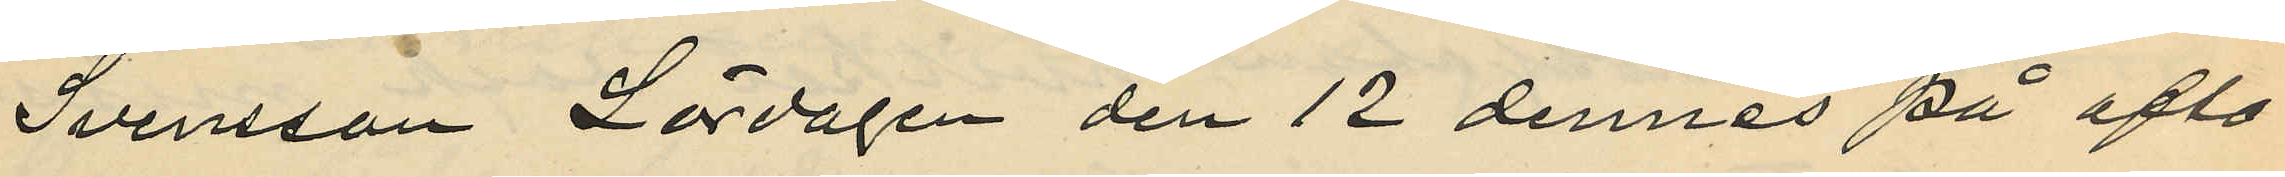Svensson Lördagen den 12 dennes på afto¬
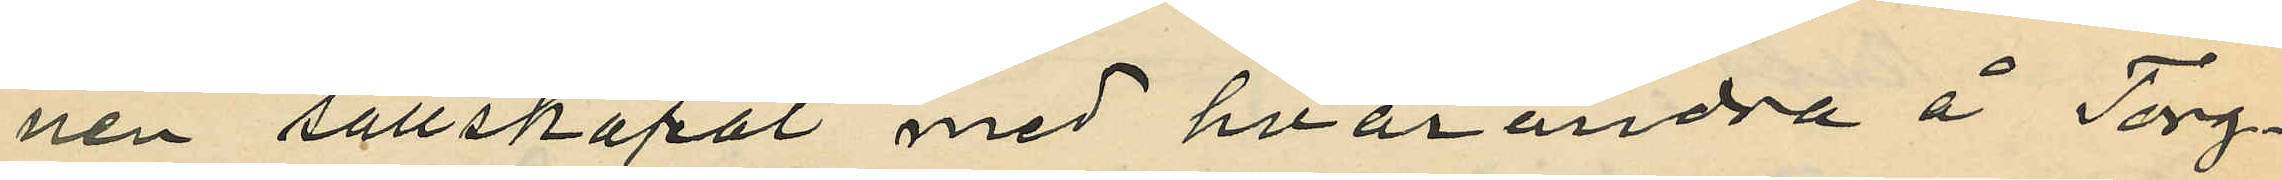nen sällskapat med hvarandra å Torg¬
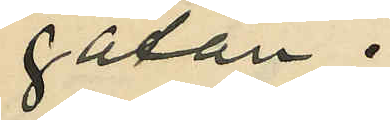gatan;
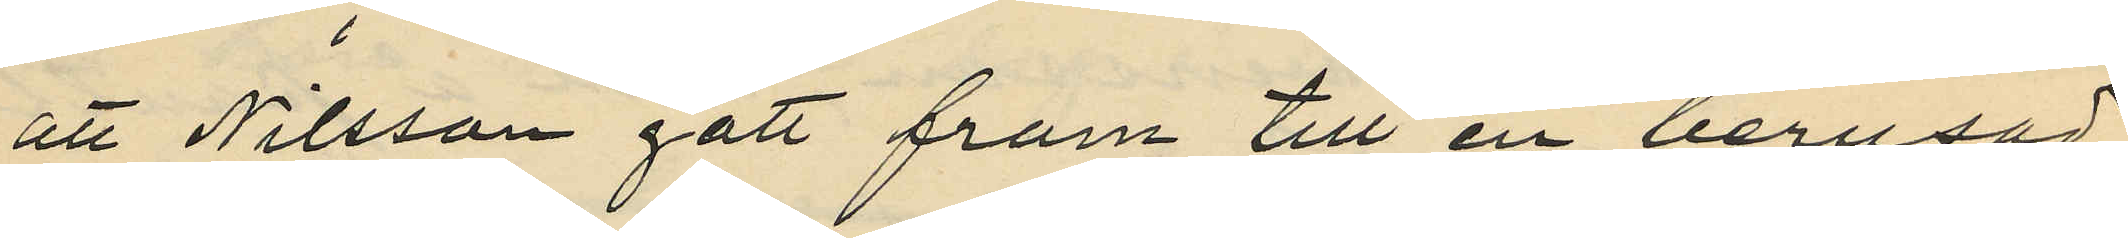att Nilsson gått fram till en berusad
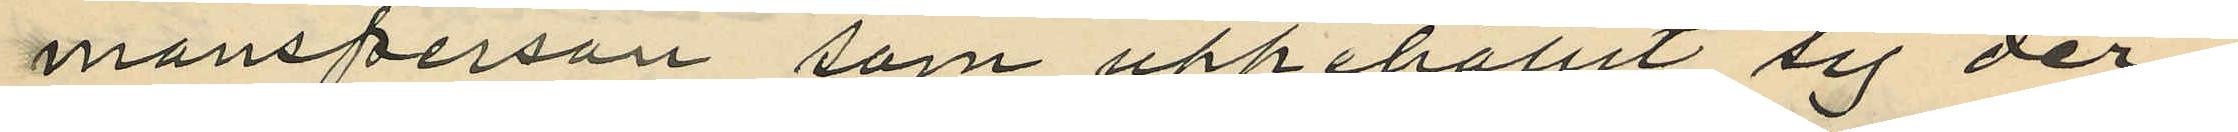mansperson som uppehållit sig der¬
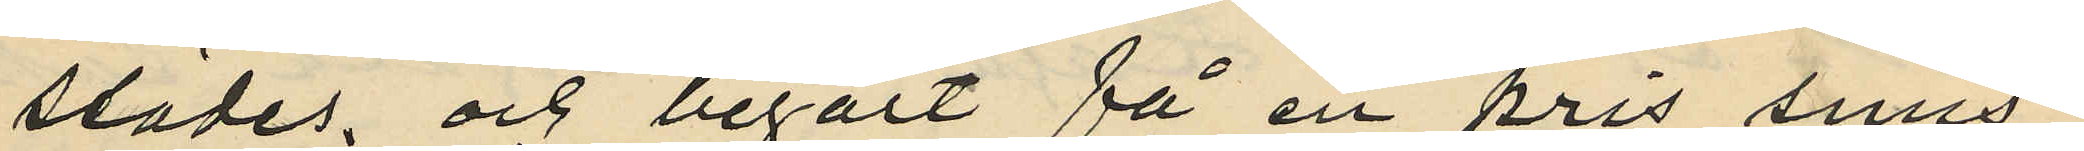städes, och begärt få en "pris snus",
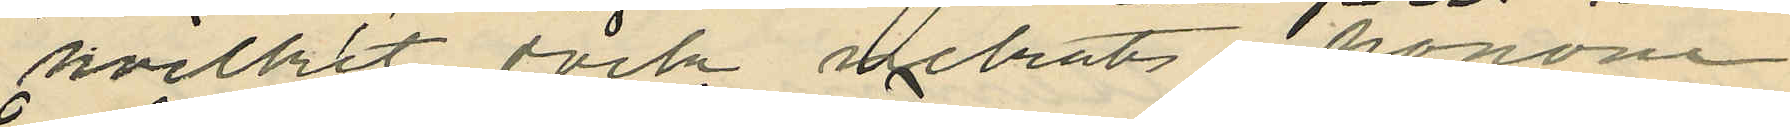hvilket dock nekats honom;
